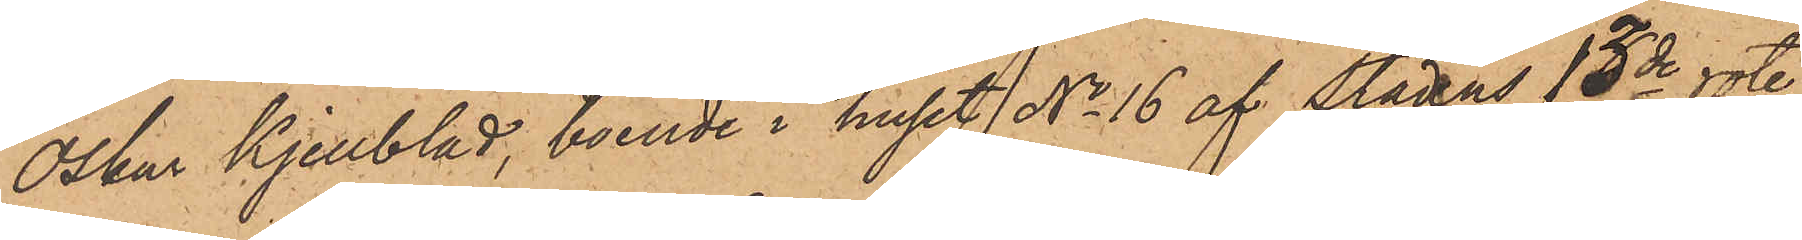Oskar Kjellblad, boende i huset No 16 af Stadens 13de rote,
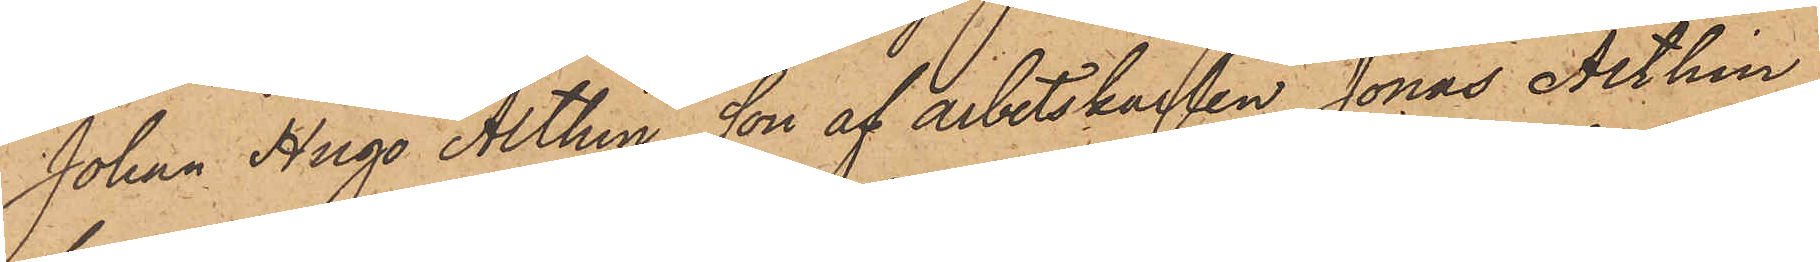Johan Hugo Althin, son af arbetskarlen Jonas Althin,
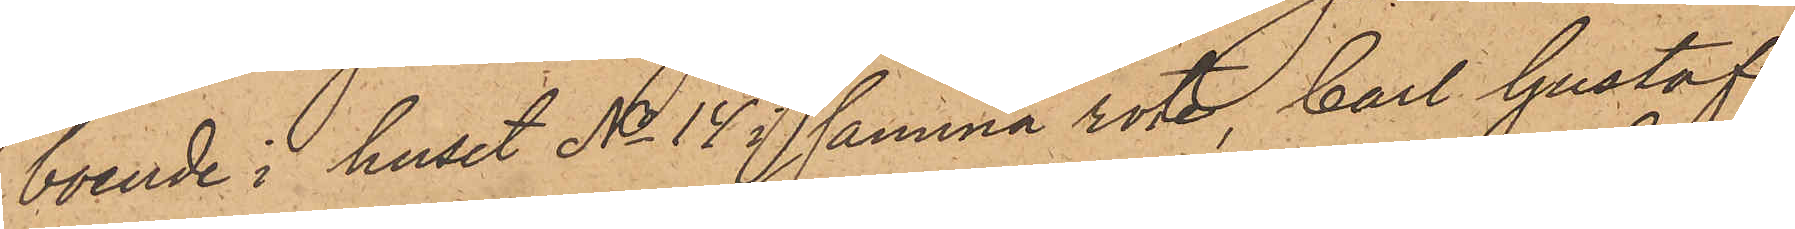boende i huset No 14 i samma rote, Carl Gustaf
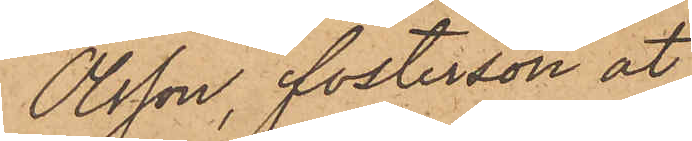Olsson, fosterson åt
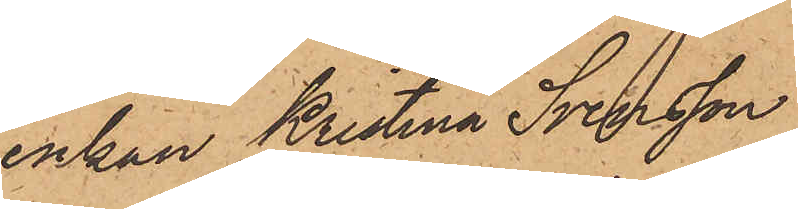enkan Kristina Svensson,
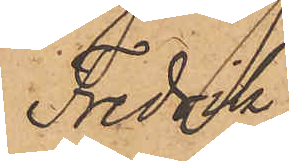Fredrik
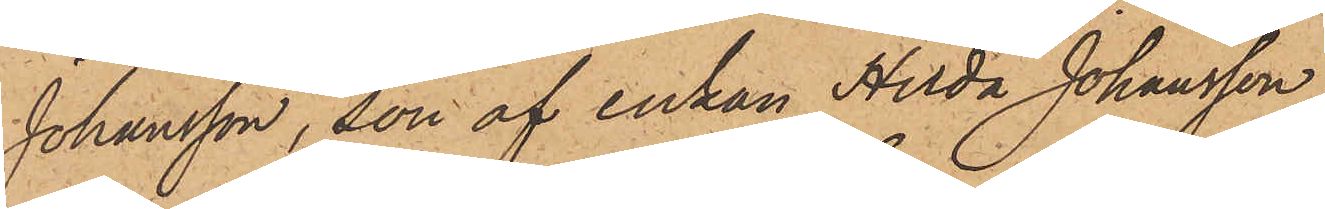Johansson, son af enkan Hilda Johansson,
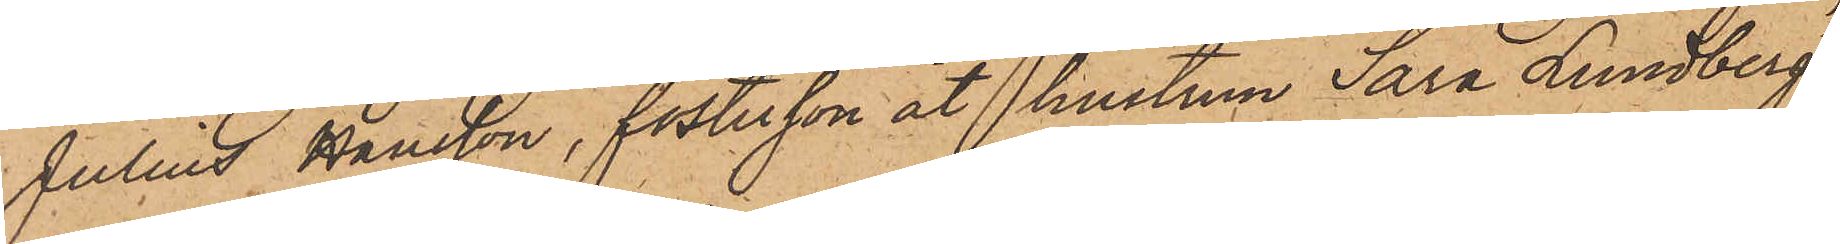Julius Hansson, fostersson åt hustrun Sara Lundberg
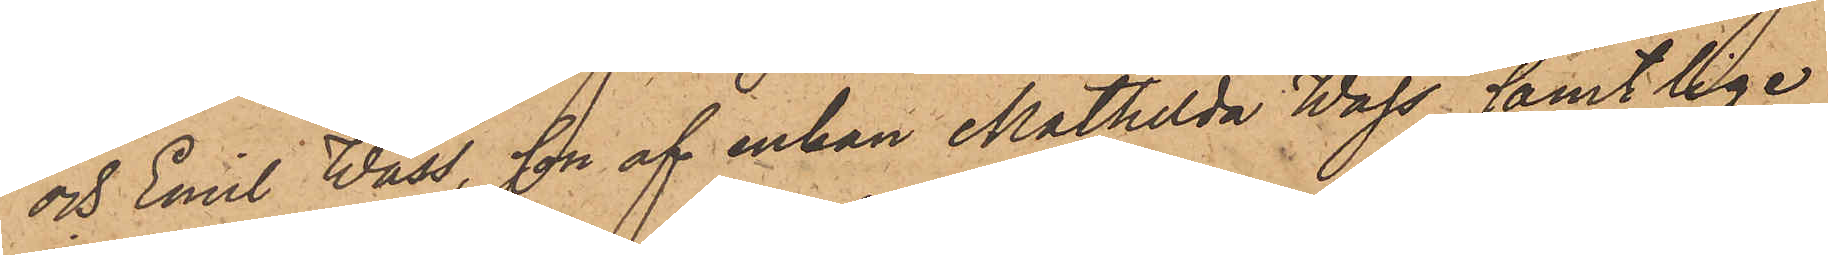och Emil Wass, son af enkan Mathilda Wass, samtlige
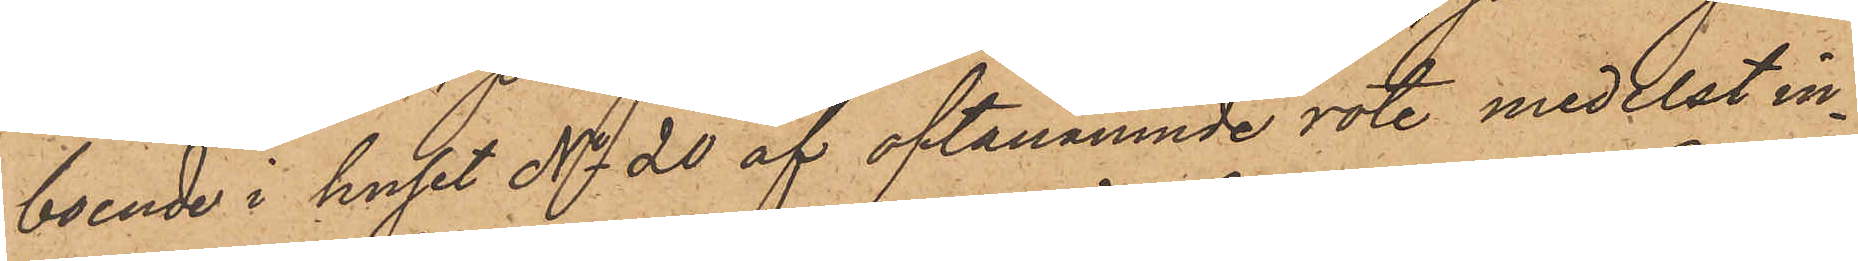boende i huset No 20 af oftanämnde rote medelst in¬
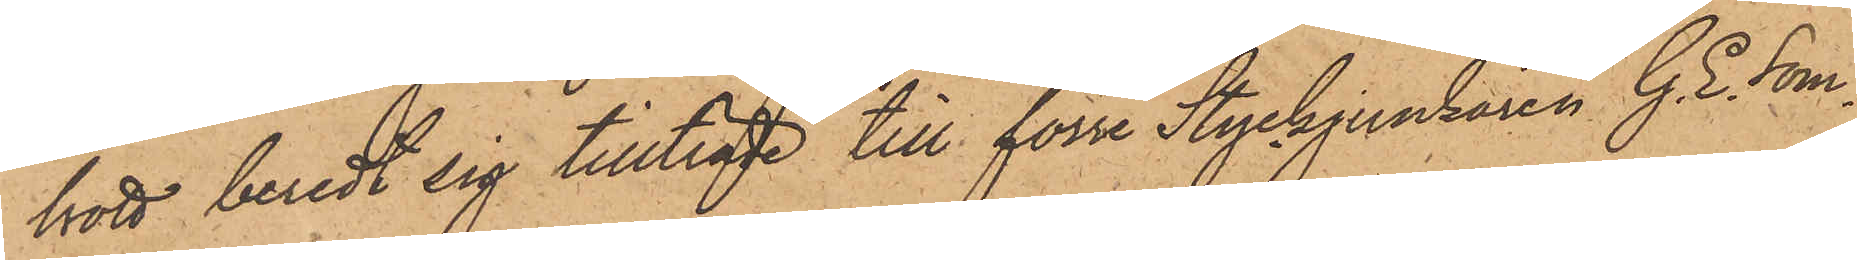brott beredt sig tillträde till förre Styckjunkaren G. E. Som¬
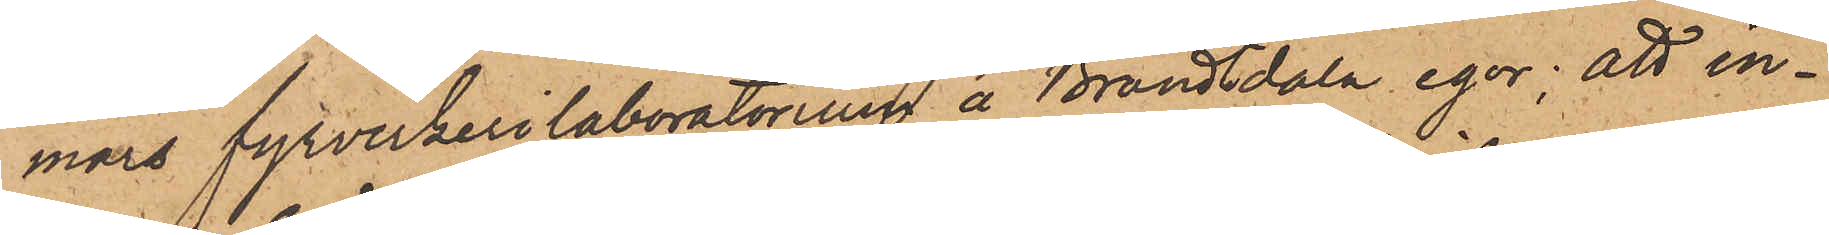mars fyrverkerilaboratorium å Brandtdala egor; att in¬
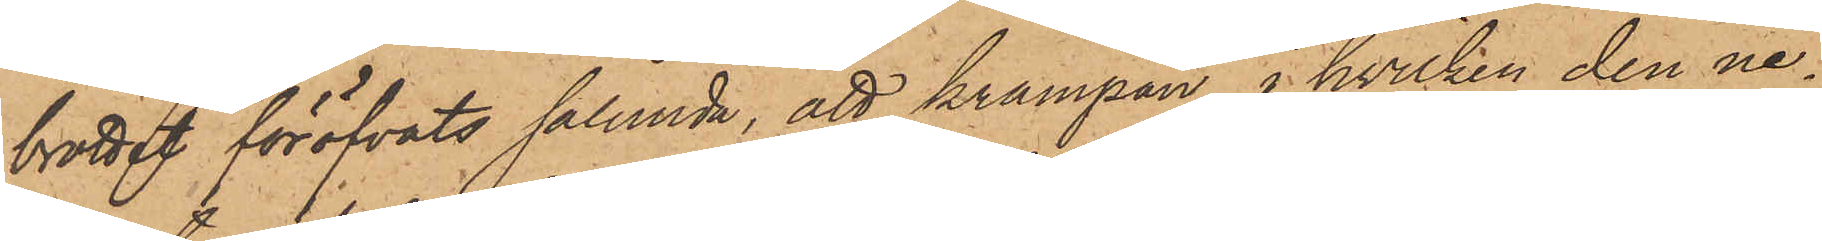brottet föröfvats sålunda, att krampan i hvilken den ne¬
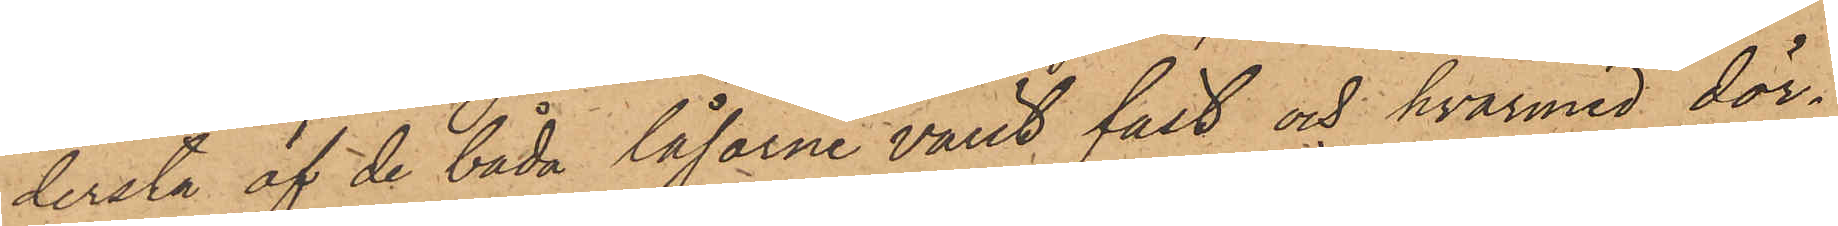dersta af de båda låsarne varit fäst och hvarmed dör¬
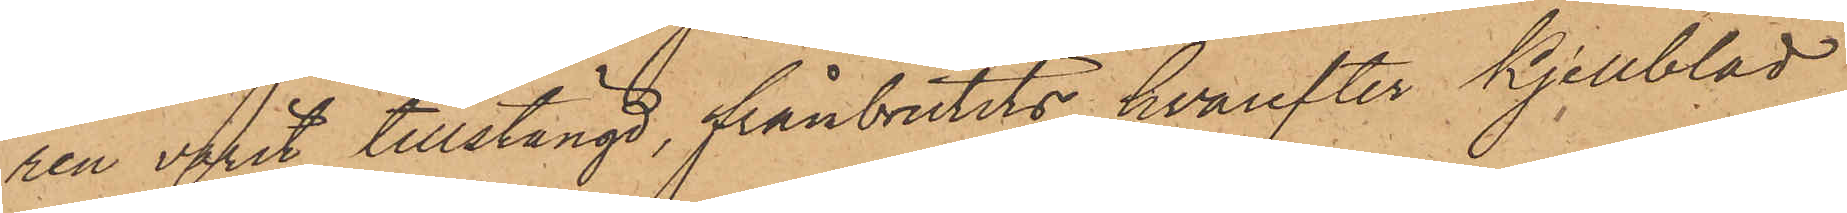ren varit tillstängd, frånbrutits, hvarefter Kjellblad
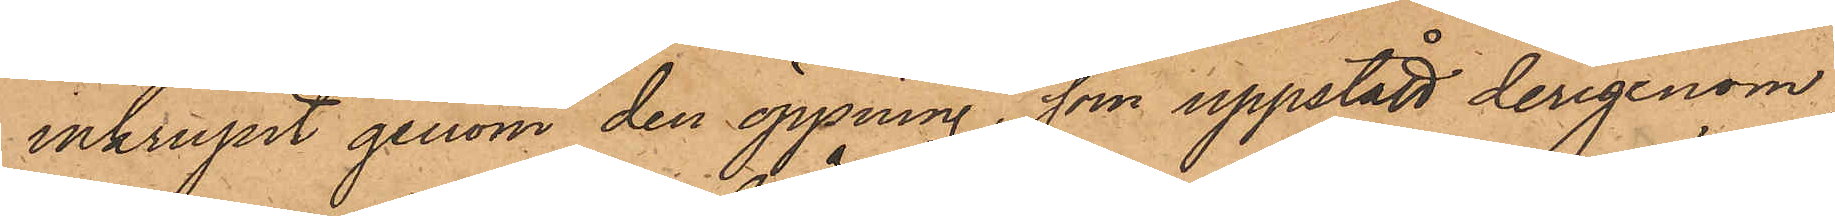inkrupit genom den öppning, som uppstått derigenom
